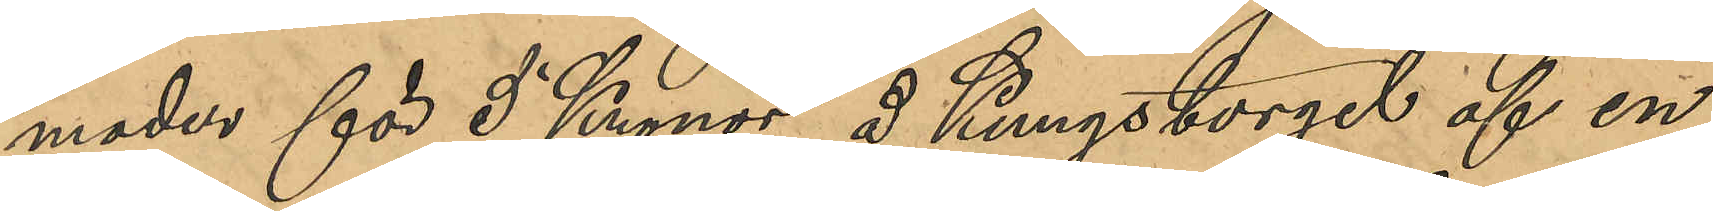moder för 5 Kronor å Kungstorget af en
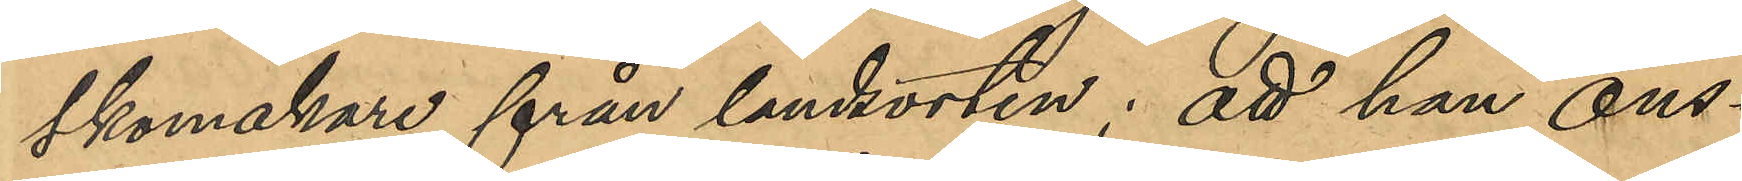skomakare från landsorten; att han ons¬
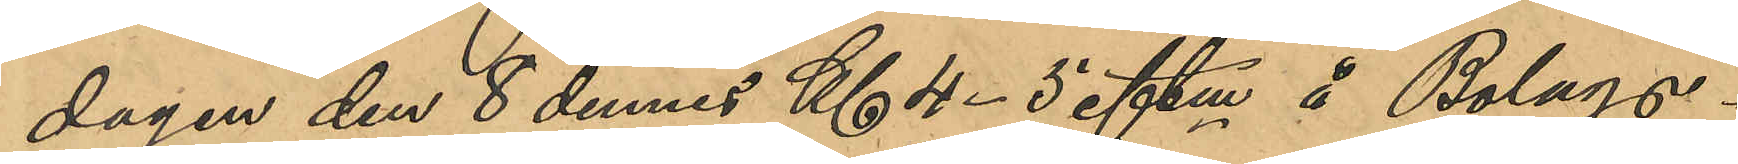dagen den 8 dennes Kl 4-5 eftm å Bolags¬
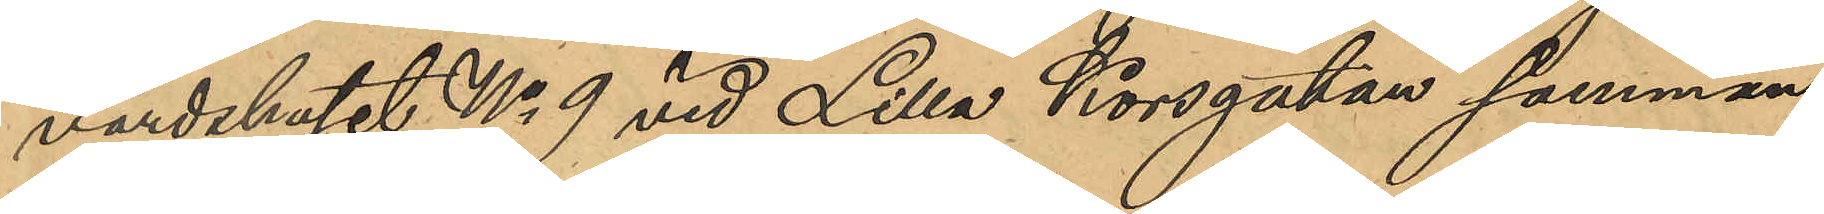värdshuset No 9 vid Lilla Korsgatan samman¬
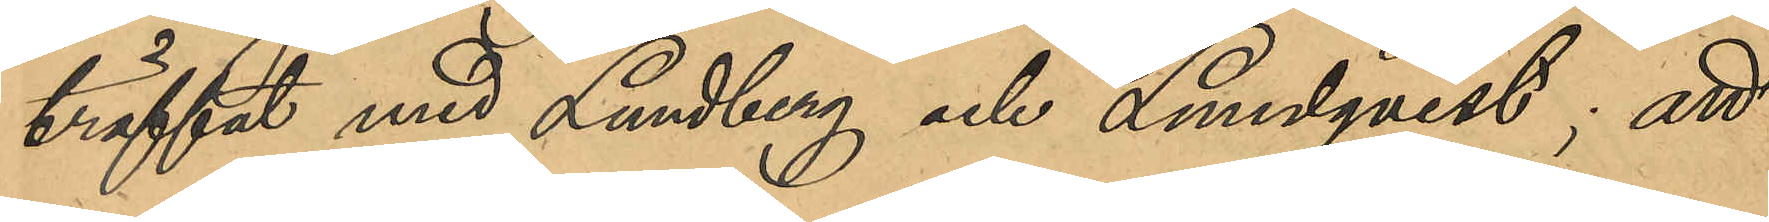träffat med Lundberg och Lundqvist; att
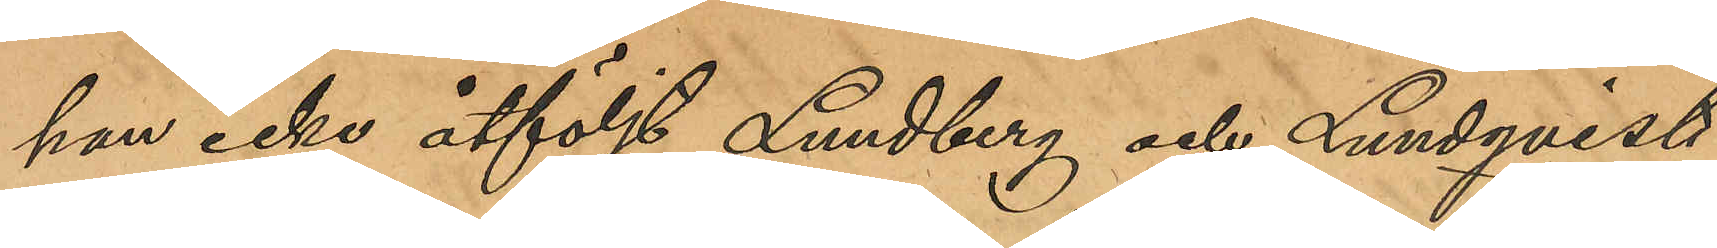han icke åtföljt Lundberg och Lundqvist
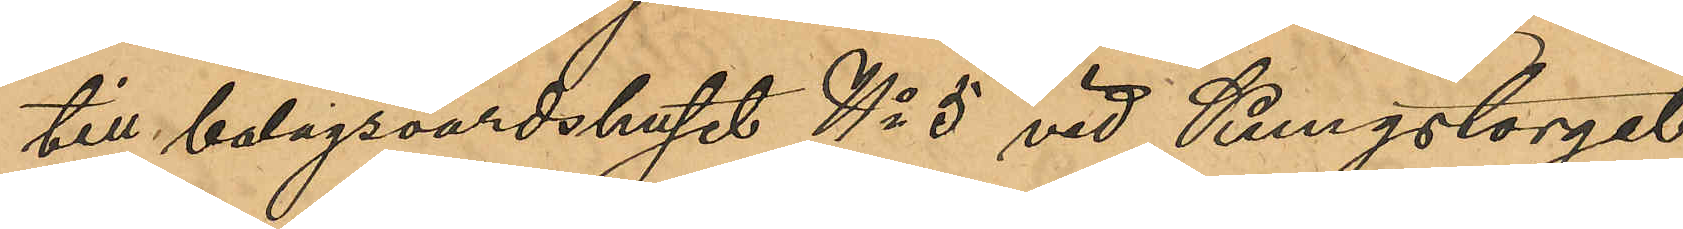till bolagsvärdshuset No 5 vid Kungstorget
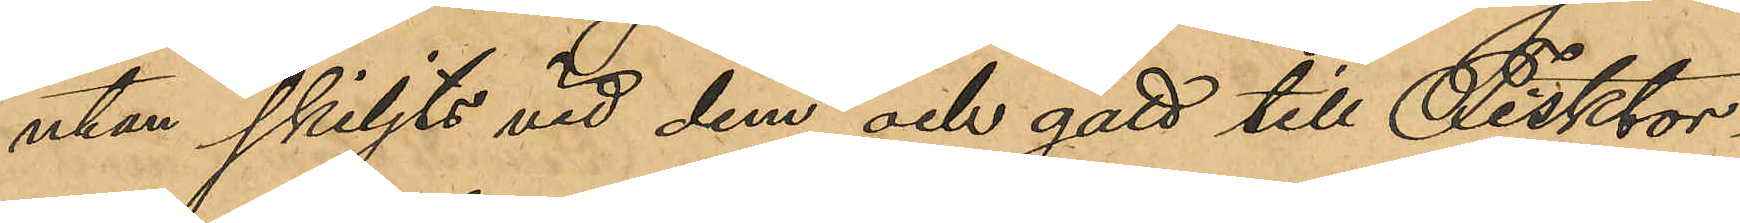utan skiljts vid dem och gått till Fisktor¬
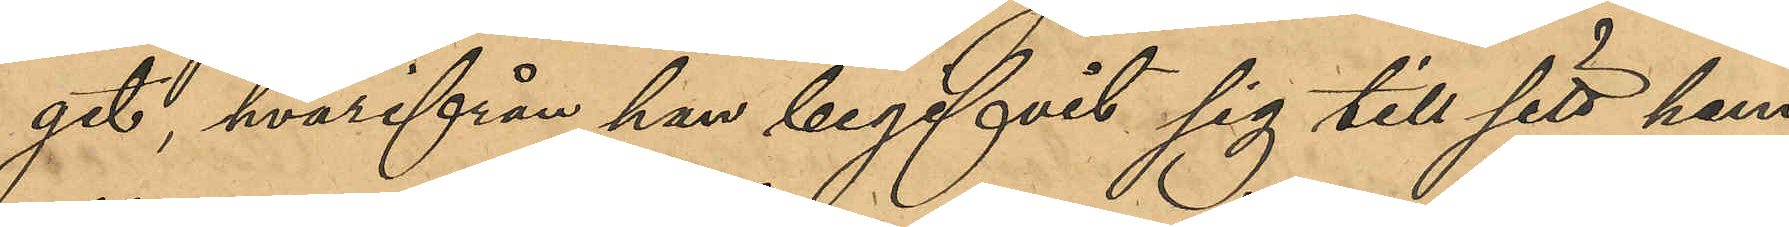get hvarifrån han begifvit sig till sitt hem,
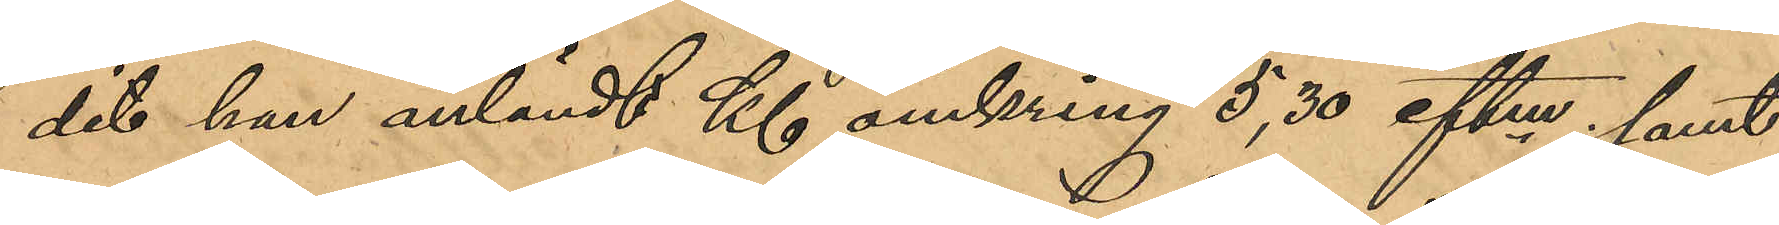dit han anländt Kl omkring 5,30 eftm; samt
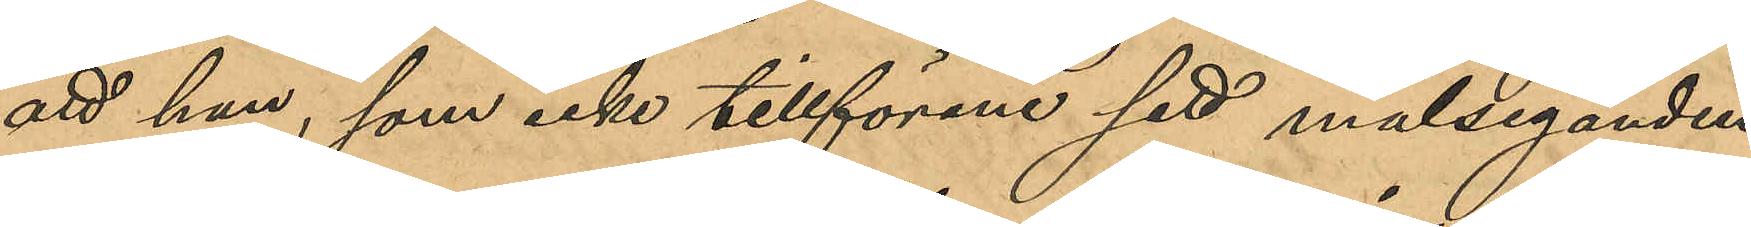att han, som icke tillförene sett målseganden
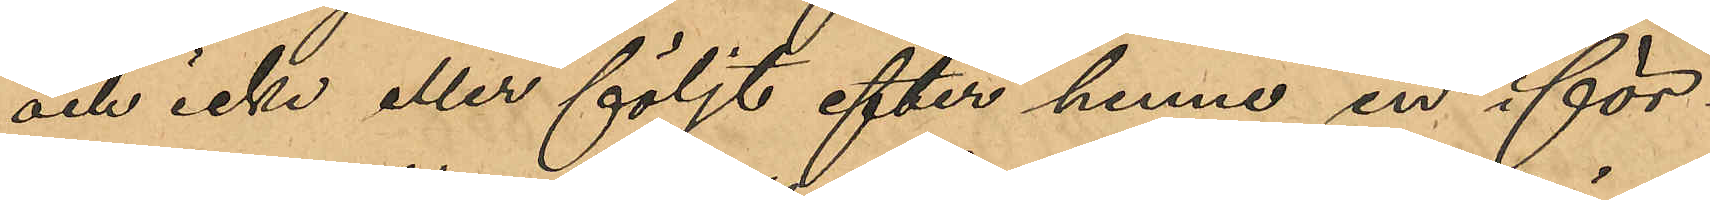och icke eller följt efter henne in i för¬
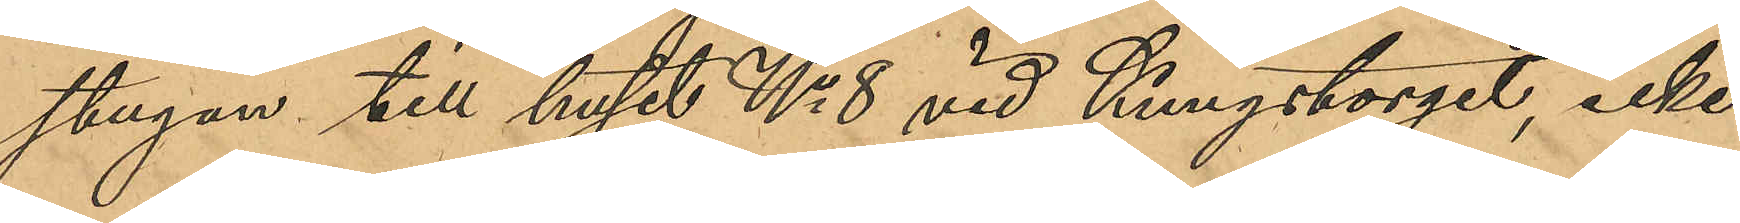stugan till huset No 8 vid Kungstorget, icke
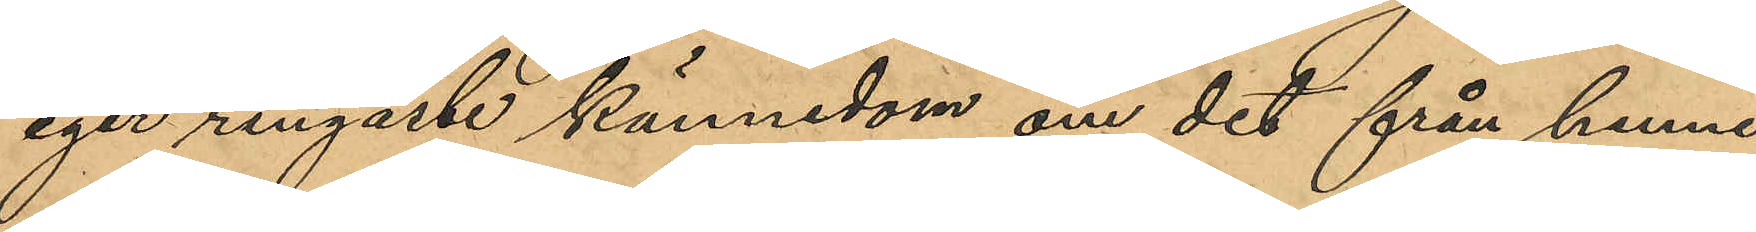eger ringaste kännedom om det från henne
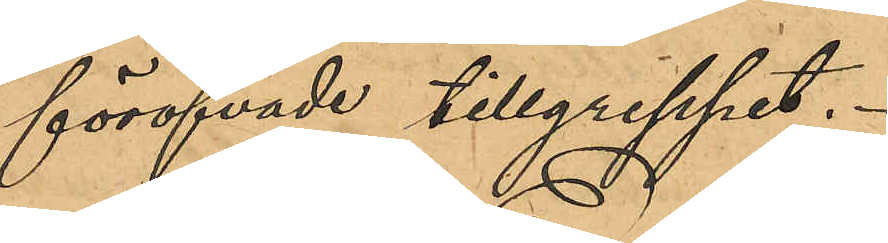föröfvade tillgreppet.
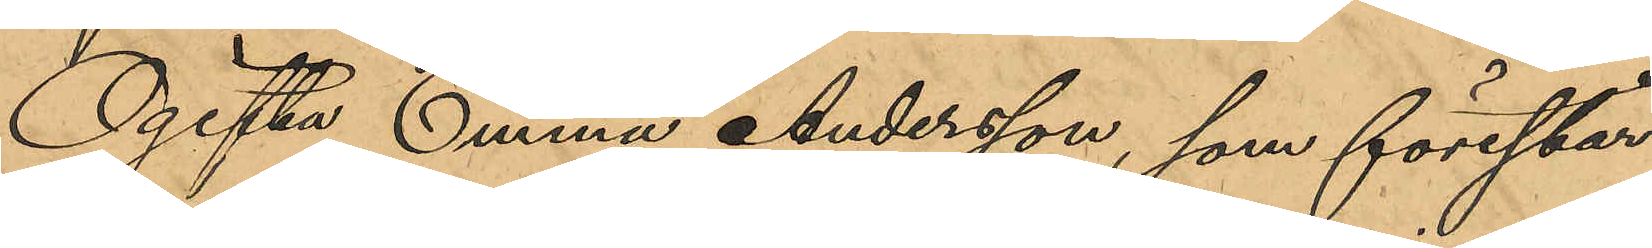Ogifta Emma Andersson, som förestår
